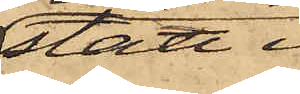stått i
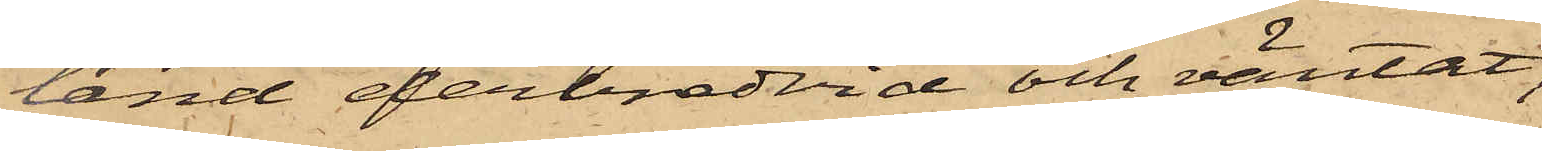land derbredvid och väntat,
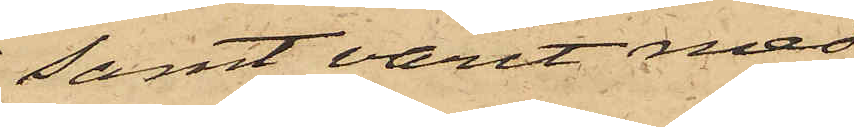samt varit med
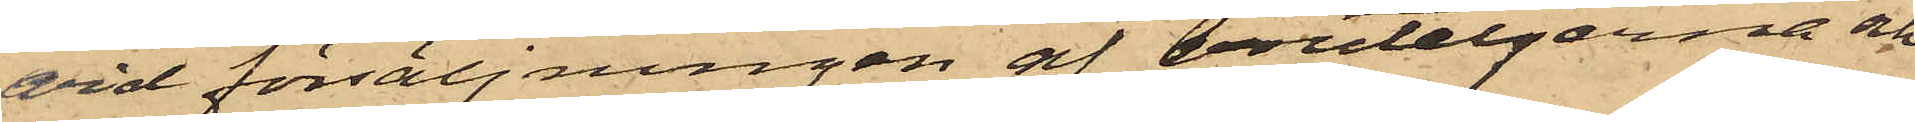vid försäljningen af bouteljerna och
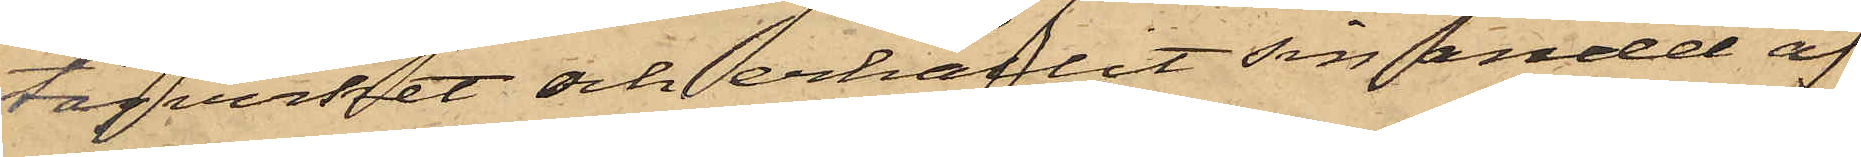tågverket och erhållit sin andel af
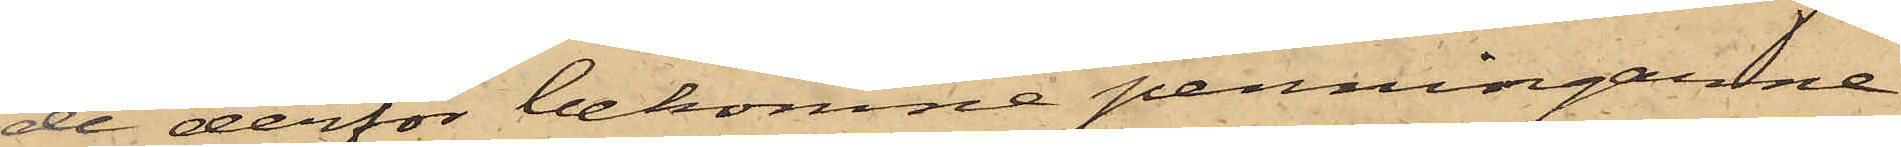de derför bekomne penningarne.
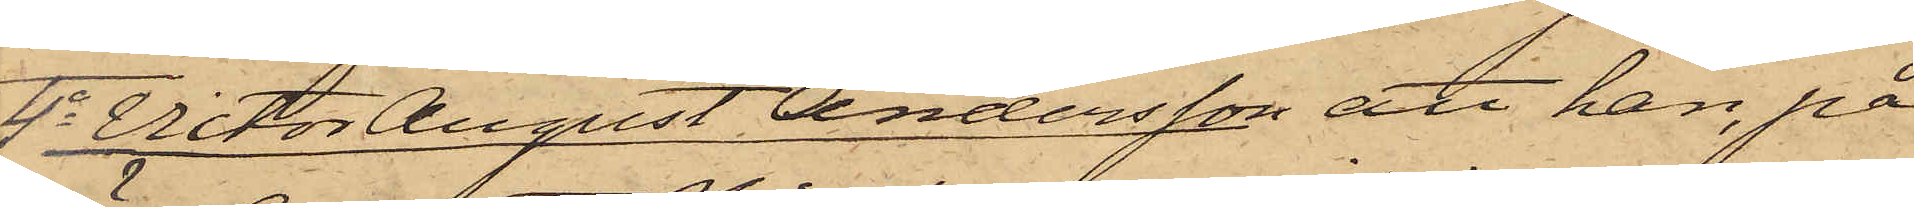4o Victor August Andersson att han, på
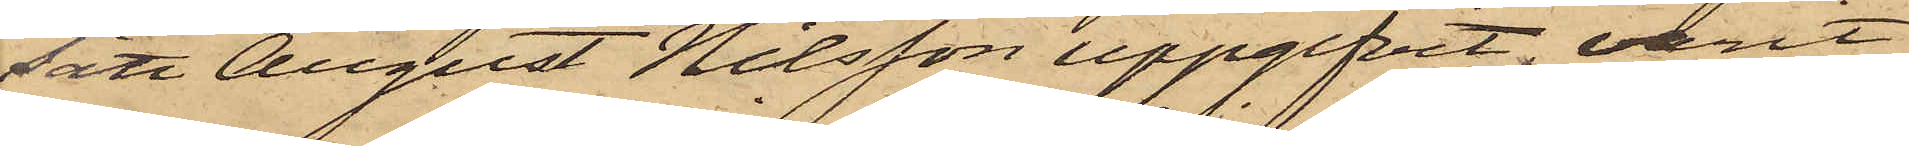sätt August Nilsson uppgifvit, varit
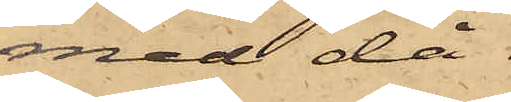med då
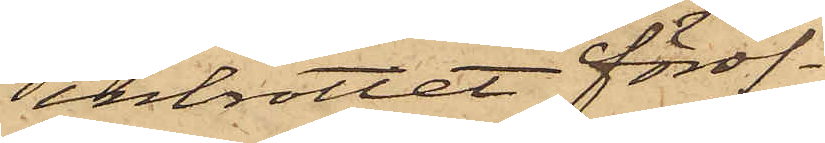inbrottet föröf¬
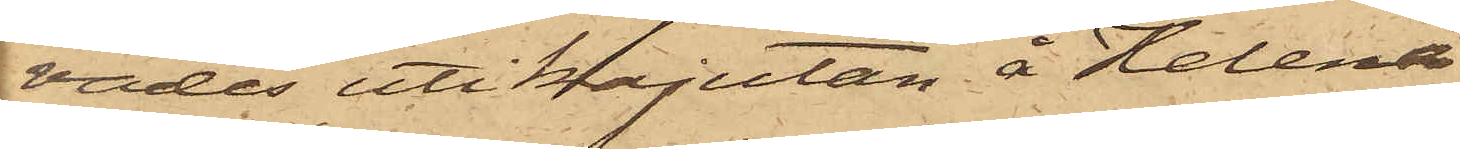vades uti kajutan å Helena
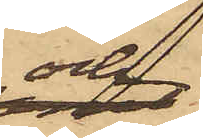och
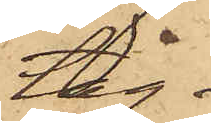tåg¬
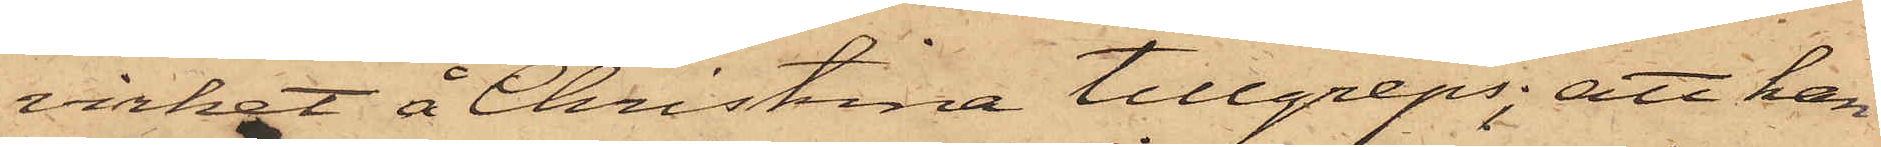virket å Christina tillgreps; att han
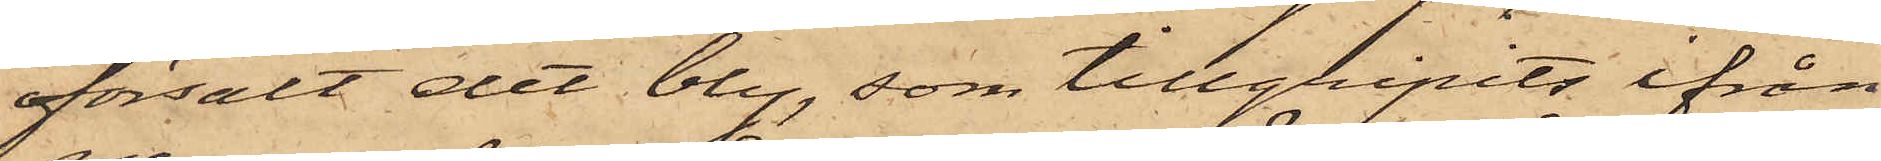försålt det bly, som tillgripits ifrån
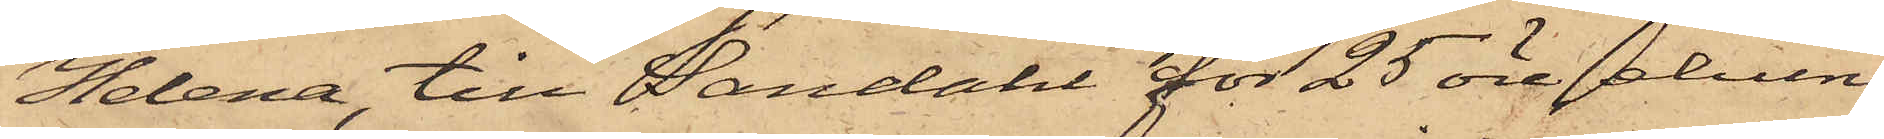Helena till Sandahl för 25 öre, ehuru
